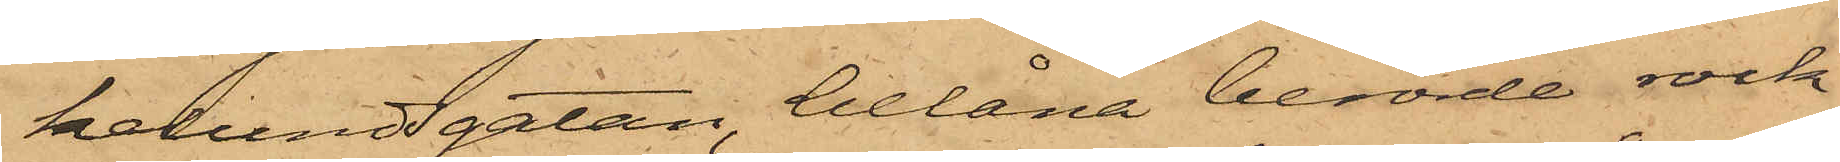kelundsgatan, belåna berörde rock.
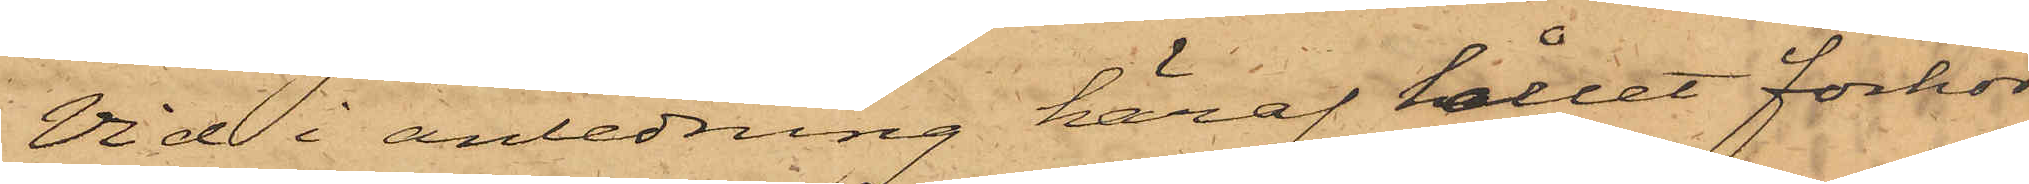Vid i anledning häraf hållet förhör
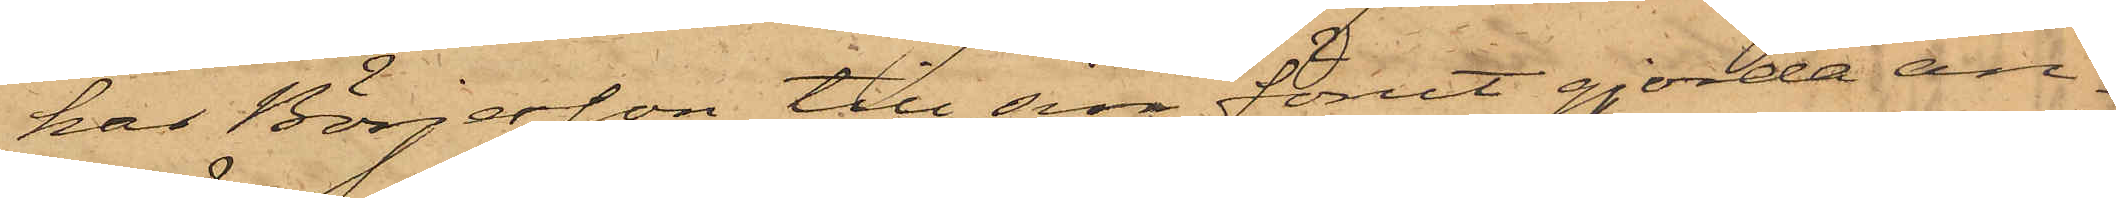har Börjesson till sin förut gjorda an¬
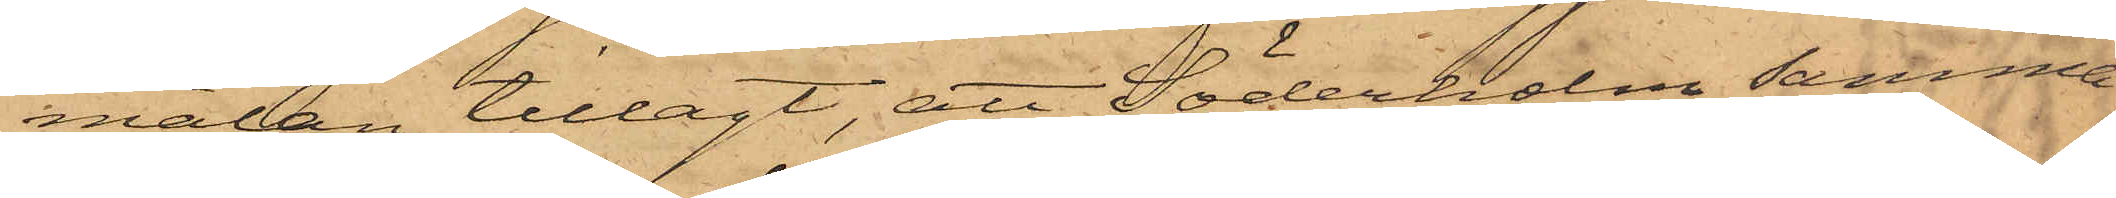mälan tillagt, att Söderholm samma
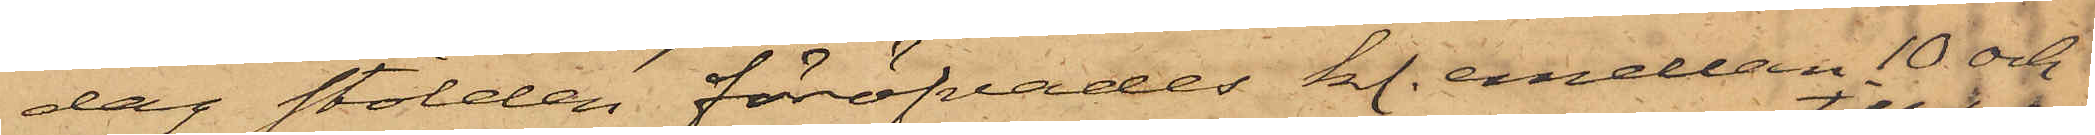dag stölden föröfvades kl. emellan 10 och
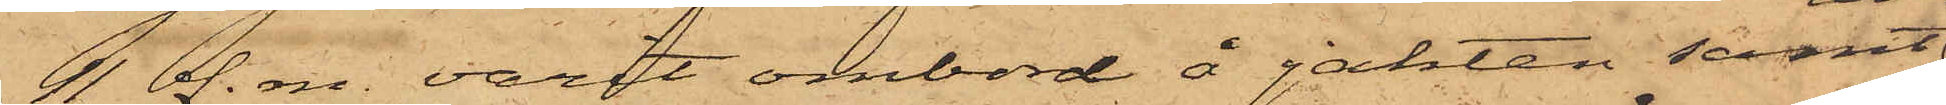11 f. m. varit ombord å jakten samt
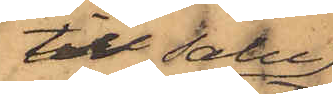till salu
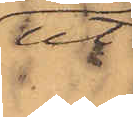ut¬
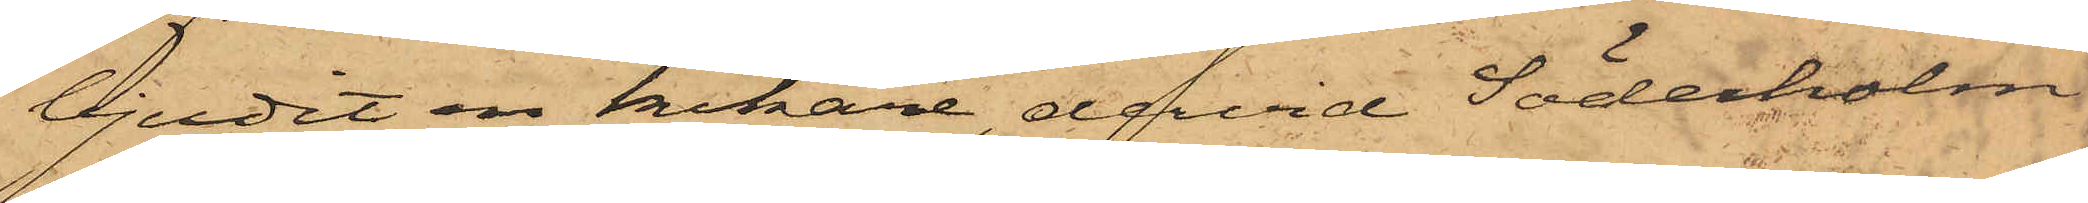bjudit en kikare, dervid Söderholm
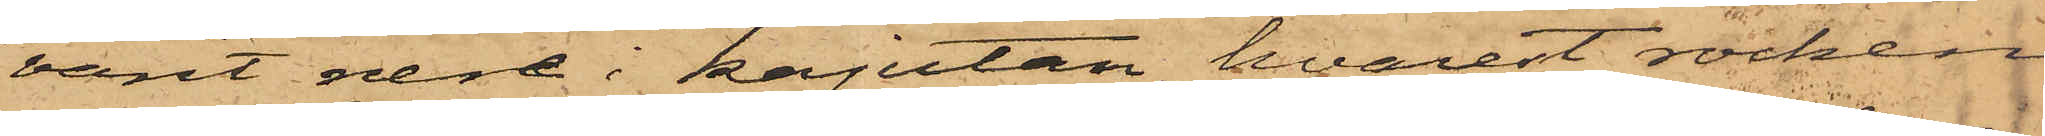varit nere i kajutan, hvarest rocken
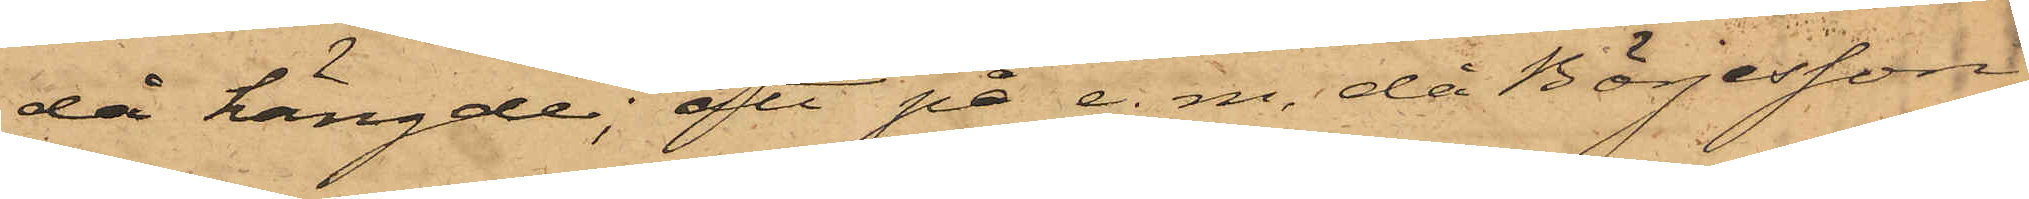då hängde; att på e. m. då Börjesson
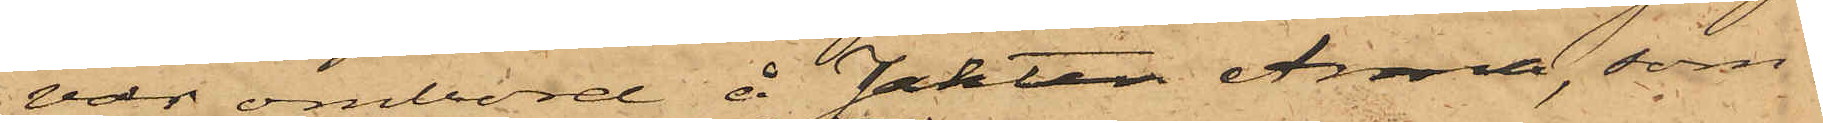var ombord å Jakten Anna, som
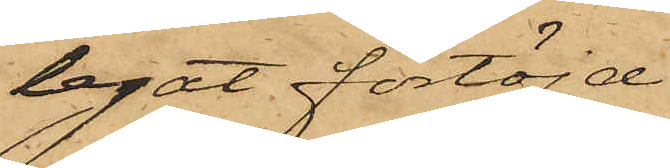legat förtöjd
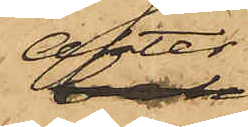akter
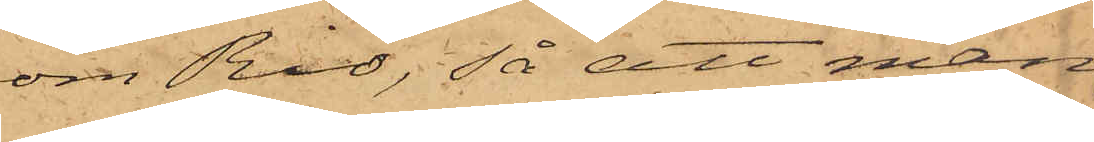om Rio, så att man
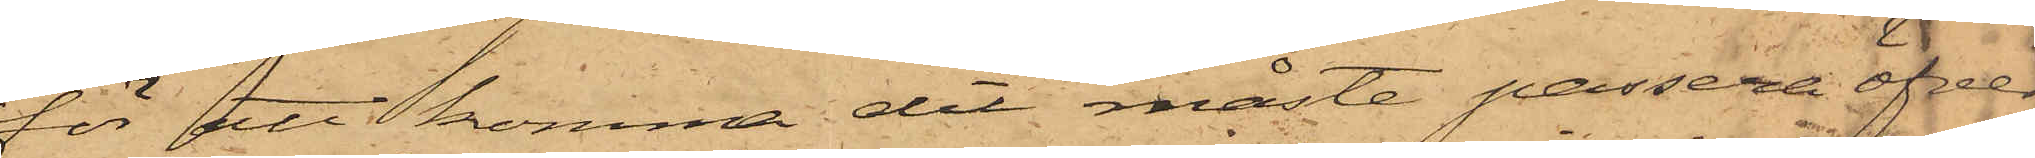för att komma dit måste passera öfver
